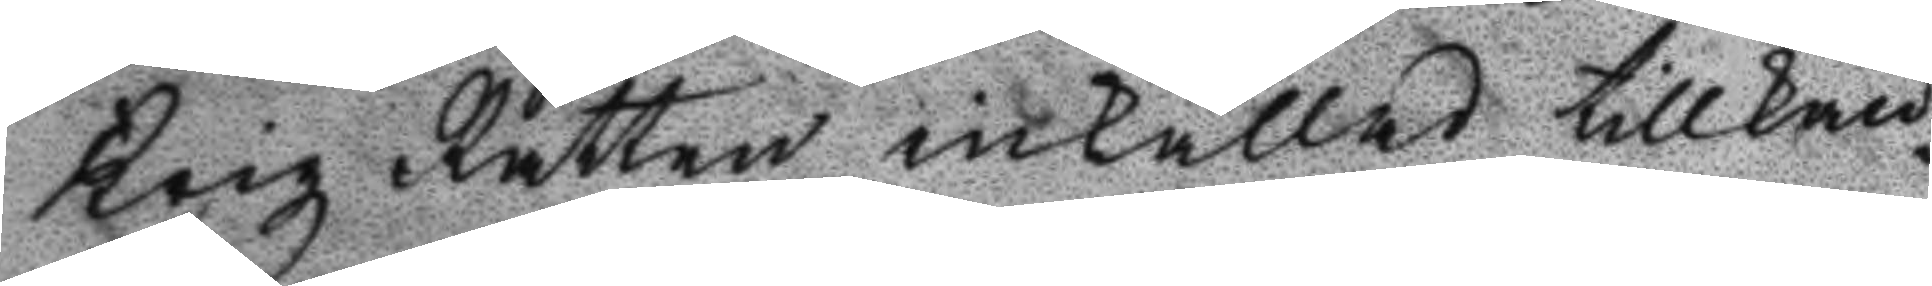Krigz Rätten inkallad tillkän¬
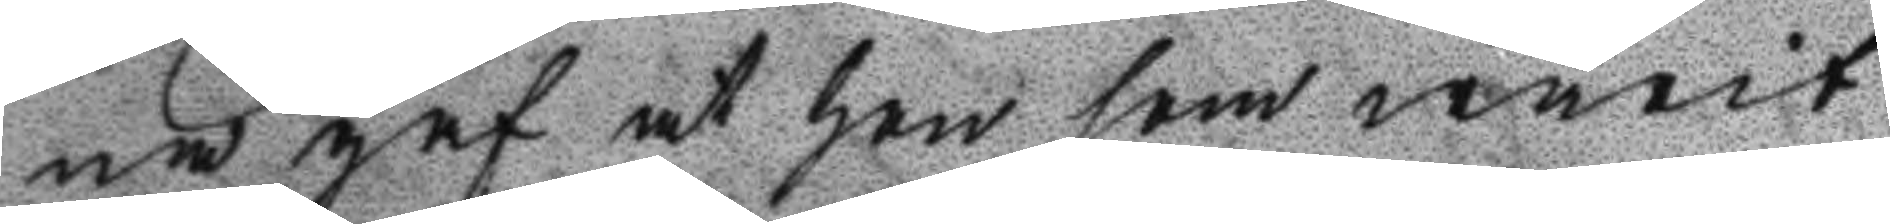na gaf at hon som warit
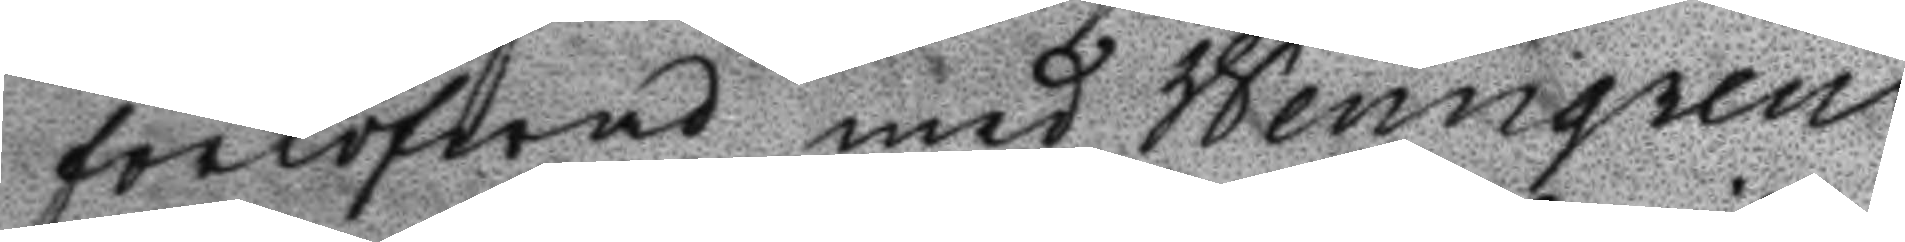forlofwad med Wenngren
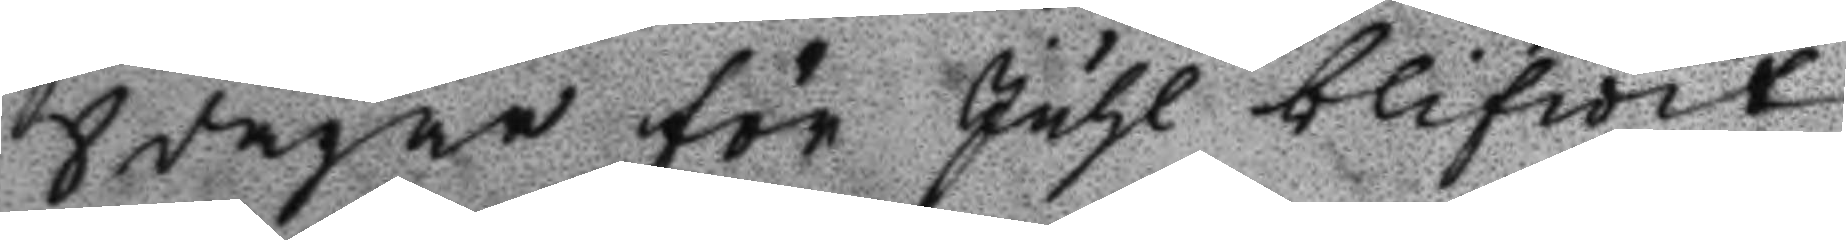8 dagar för Juhl blifwit
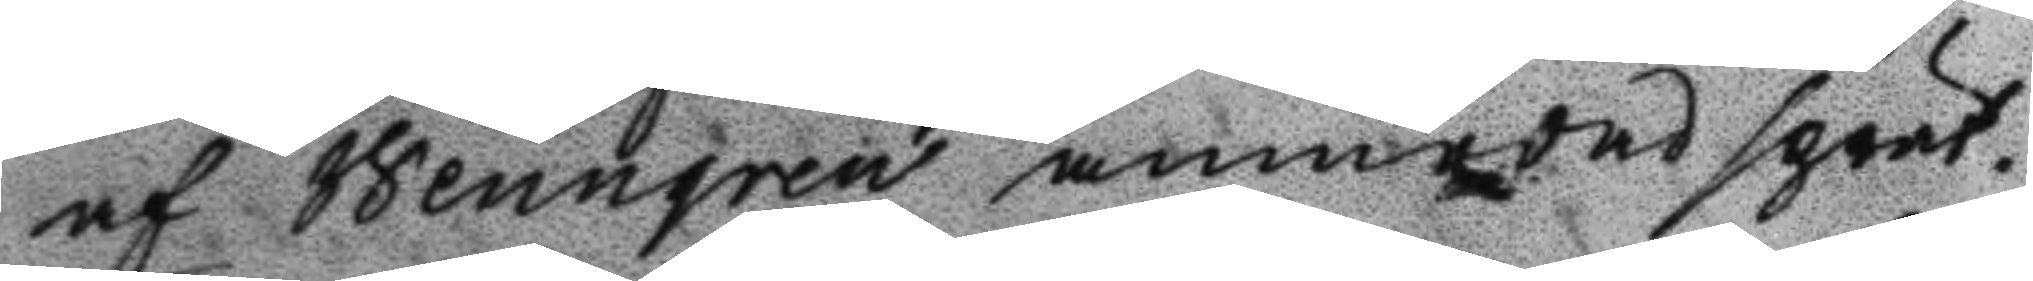af Wenngren anmodad sprät¬
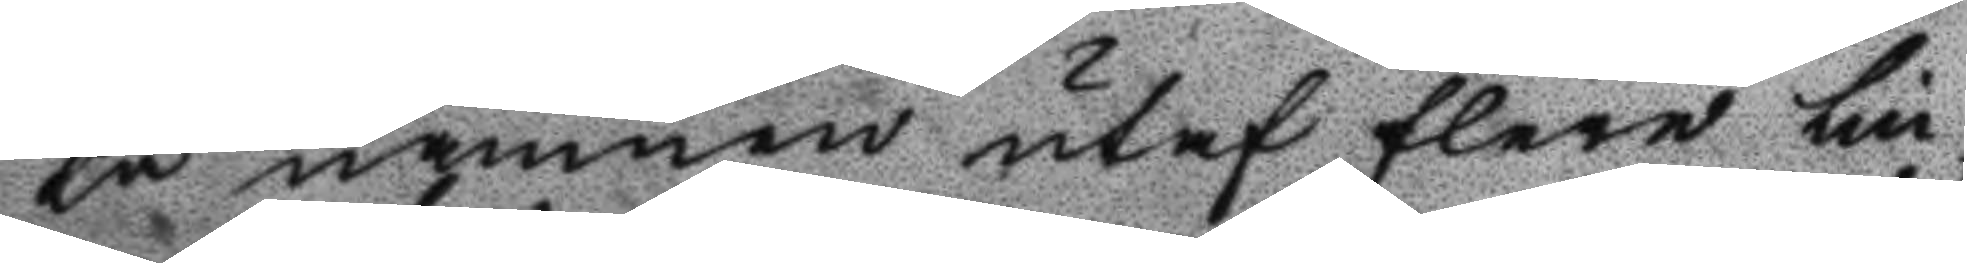ta namnen utaf flere lin¬
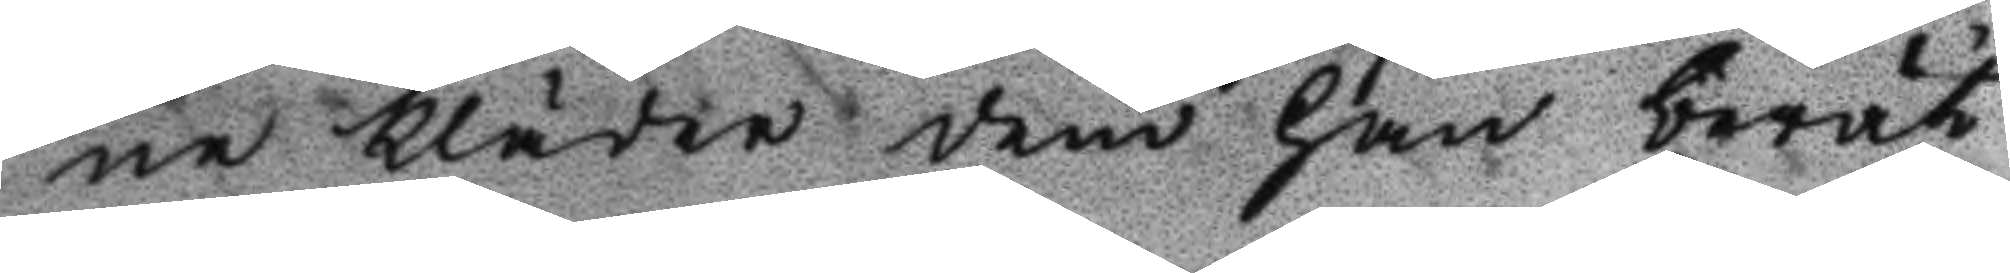ne kläder dem han berät¬
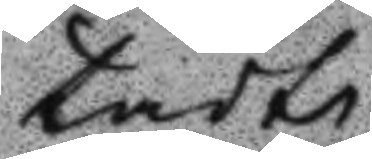tadt
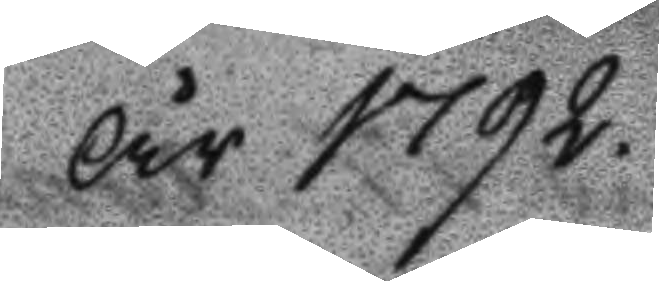År 1792.
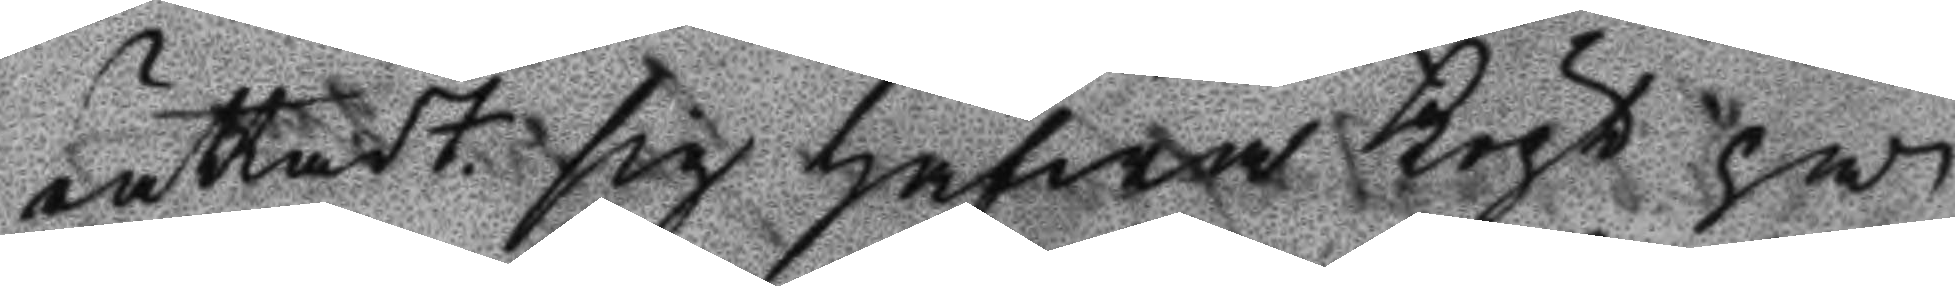rättadt sig hafwa Köpt på
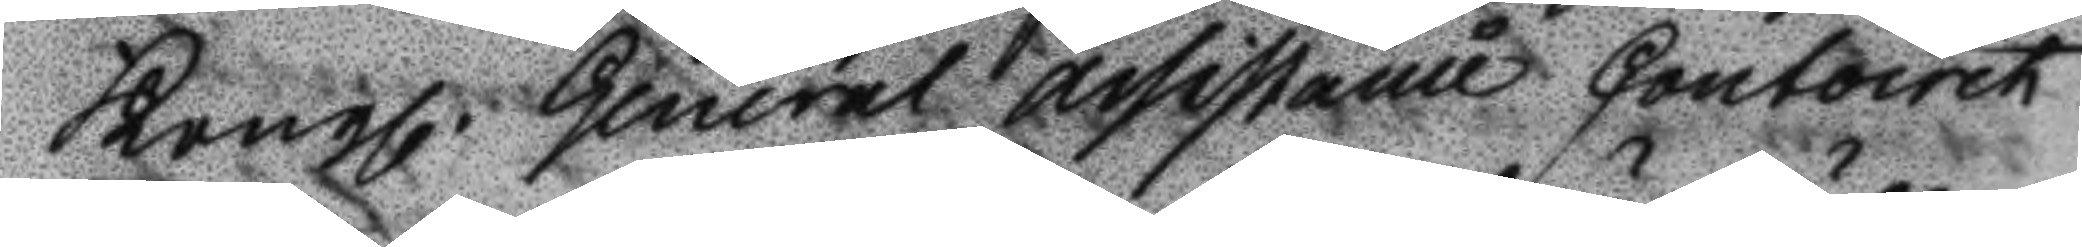Kongl. General Assistanci Contoret
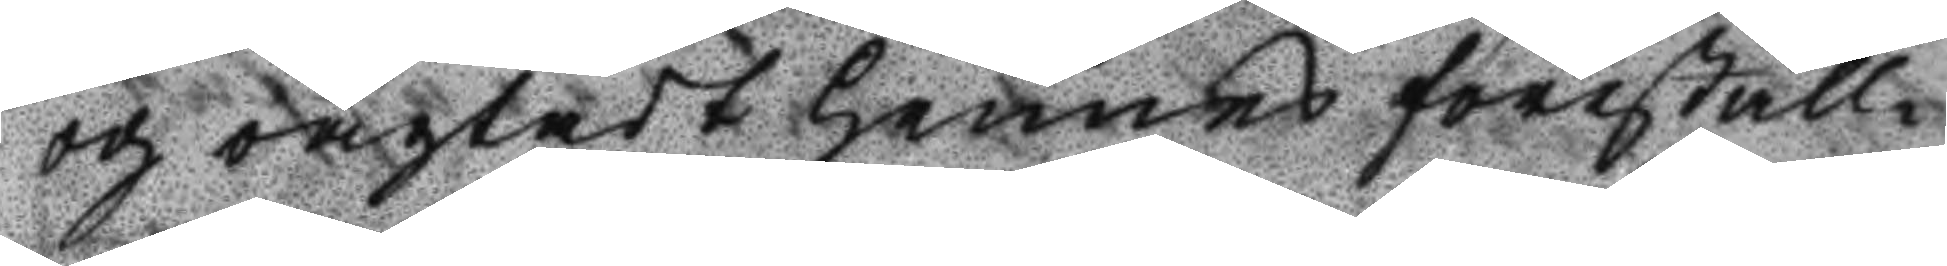och oagtadt hennes föreställ¬
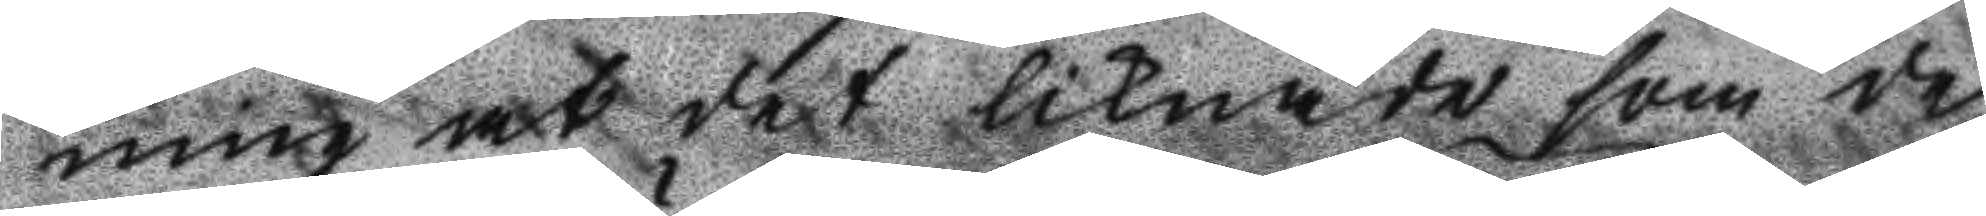ning at det liknade som de
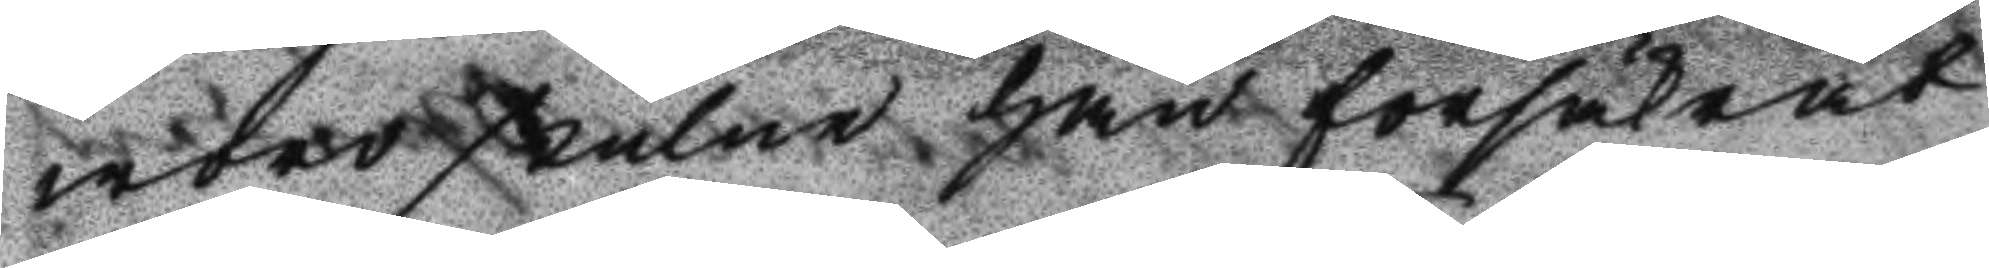wore stulne han försäkrat
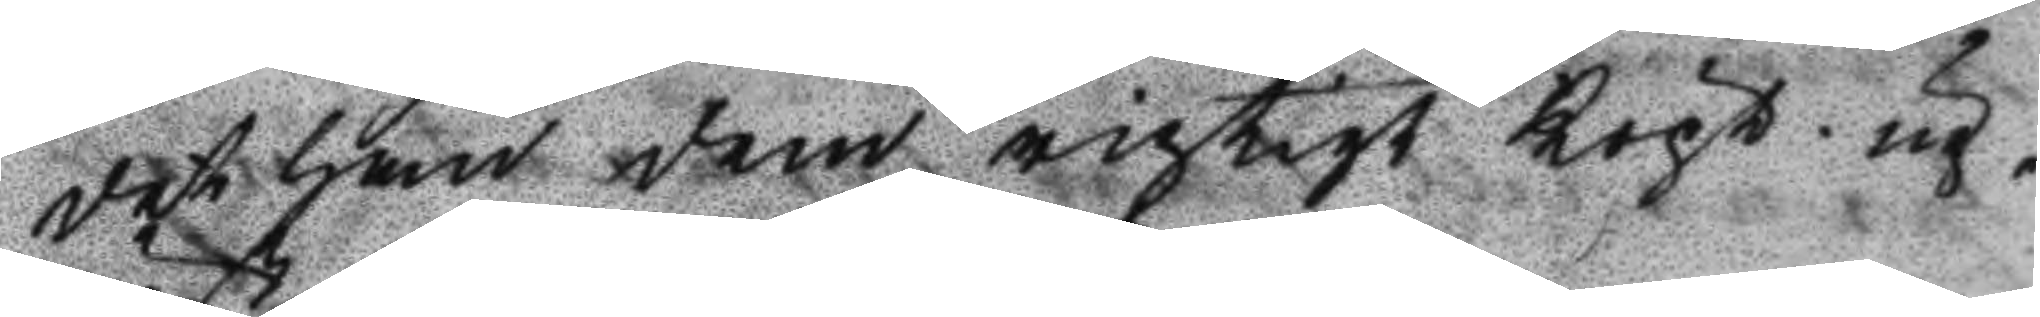det han dem rigtigt köpt. up¬
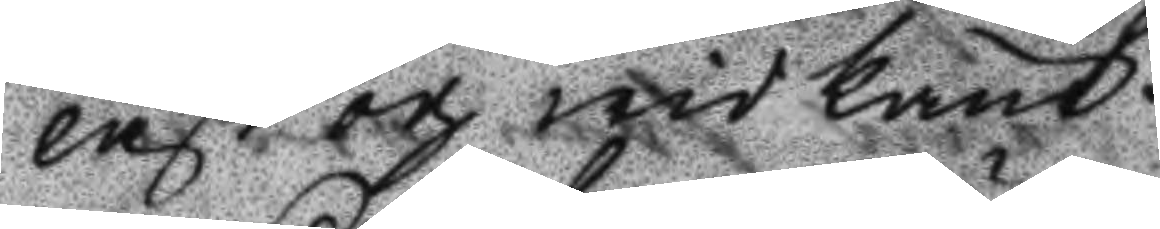läst och wid känt.
